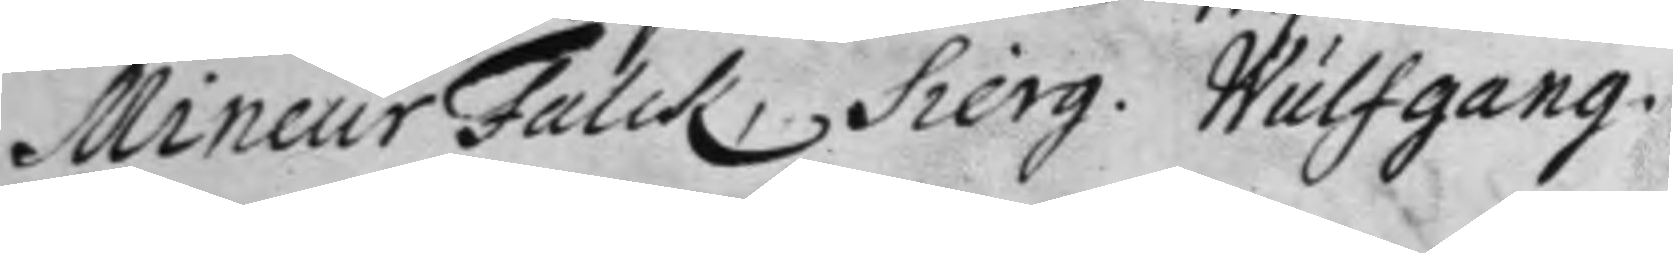Mineur Falck, Sierg. Wulfgang.
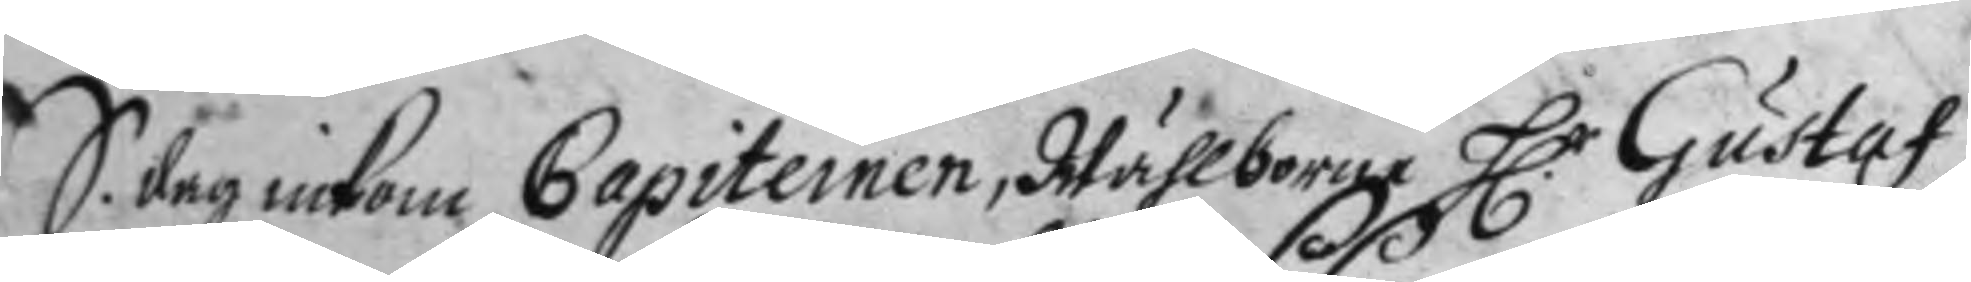S. dag inkom Capiteinen, Wälborne H.r Gustaf
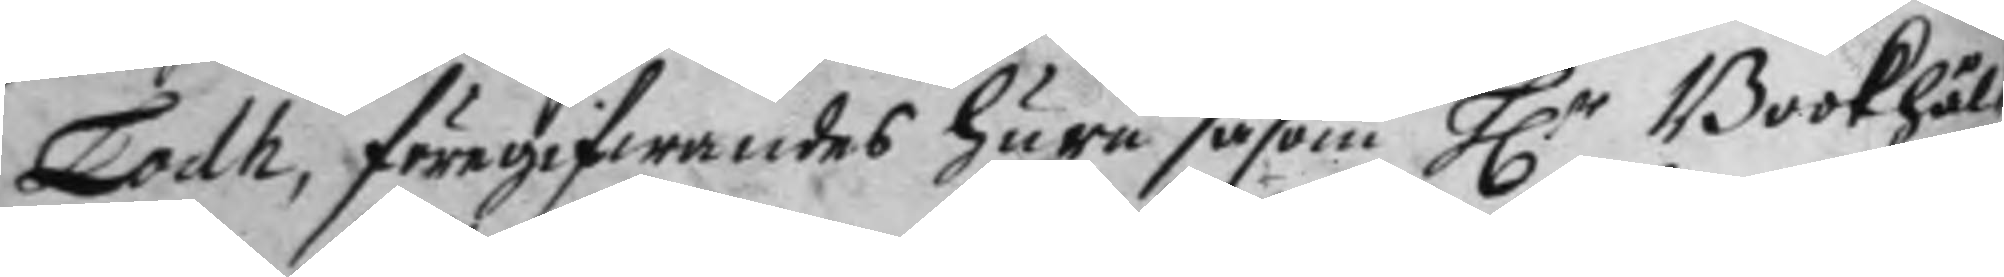Lodh, föregifwandes huru såsom H.r Bookhål¬
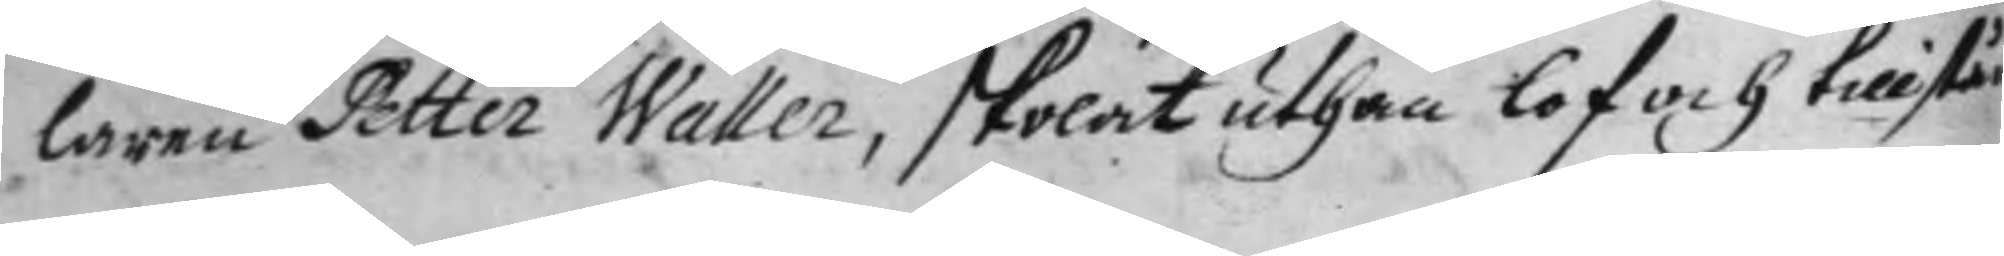laren Petter Waller, skolat uthan lof och tillstånd
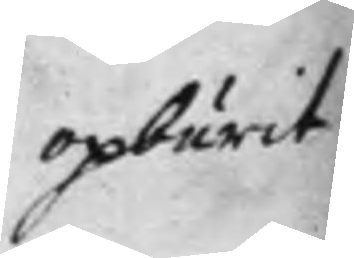opburit
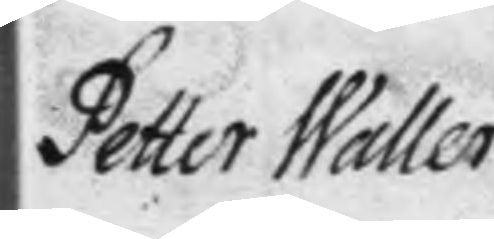Petter Waller
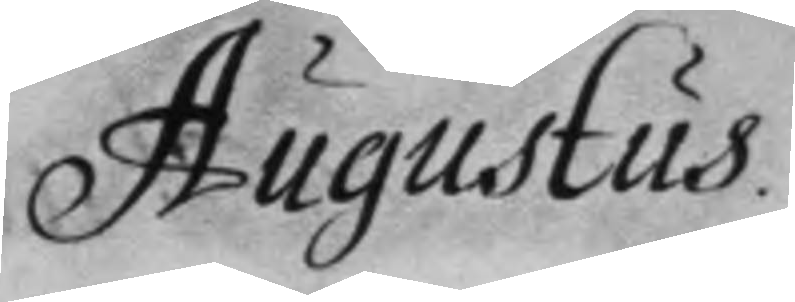Augustus.
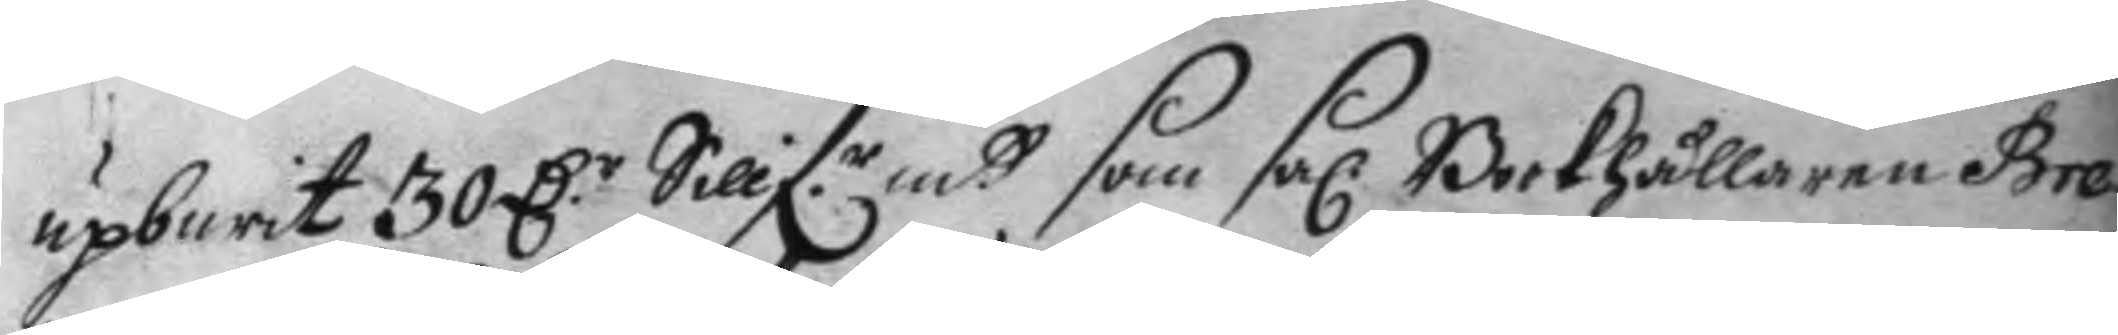upburit 30 D.r Sillf.r mtt som sal. Bookhållaren Bre¬
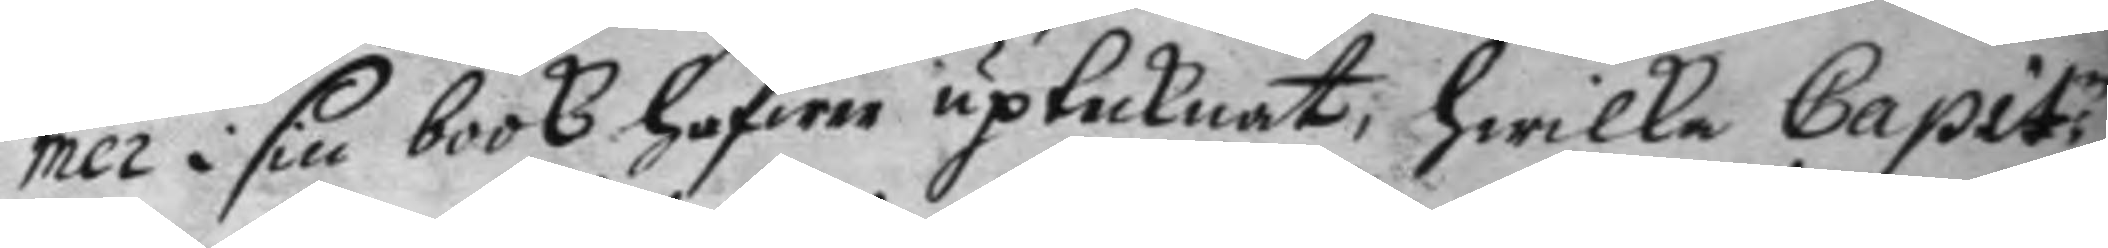mer i sin book hafwer uptecknat, hwilka Capit.n
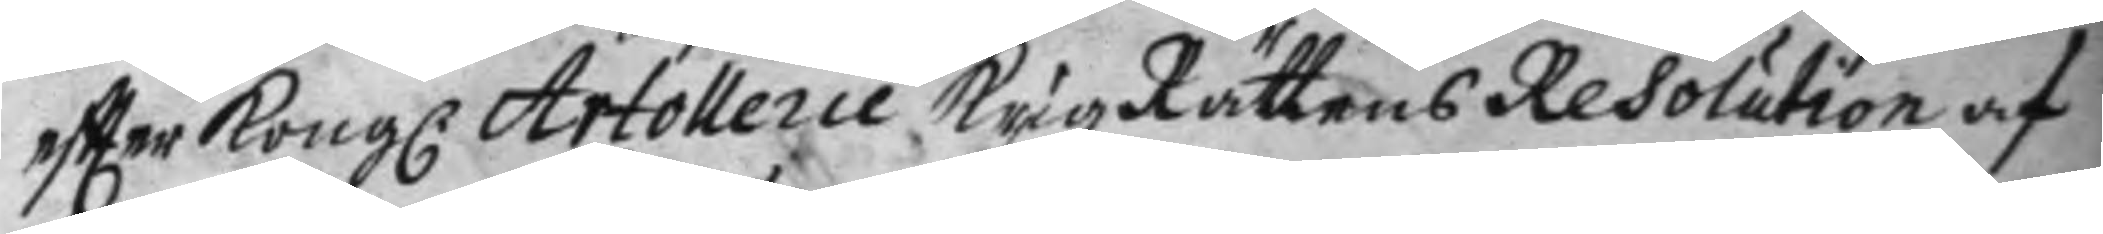eftter Kongl. Artollerie Krigz Rättens Resolution af
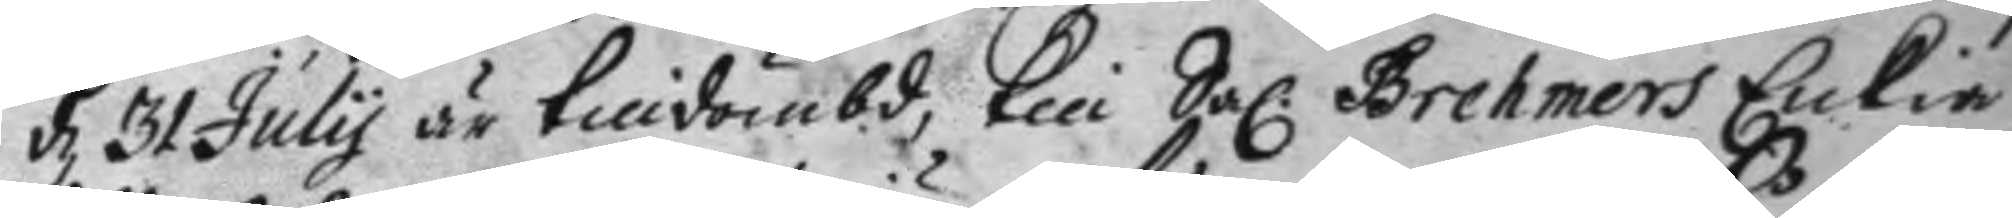d 31 July är tilldömbd, till Sal Brehmers Enkia
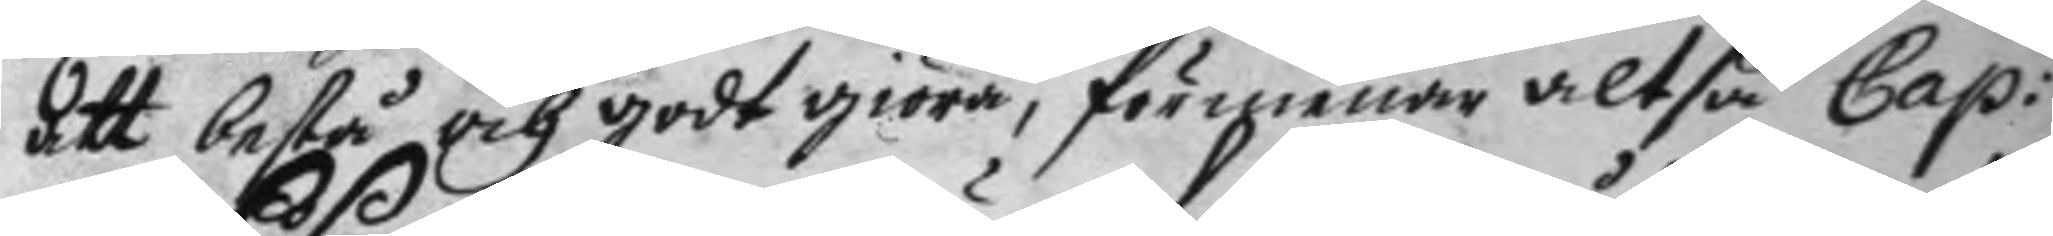att bestå och godt giöra, förmanar altså Cap:
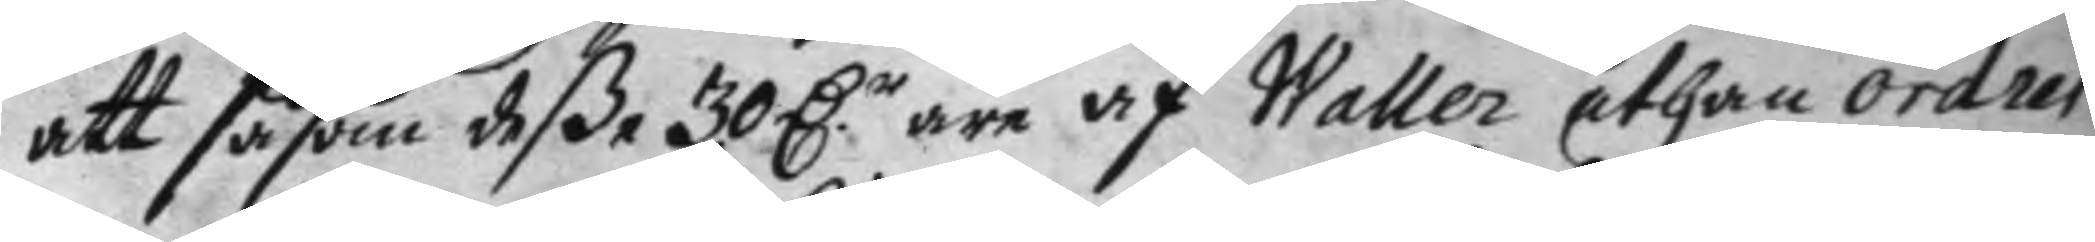att såsom deße 30 D.r äre af Waller uthan order
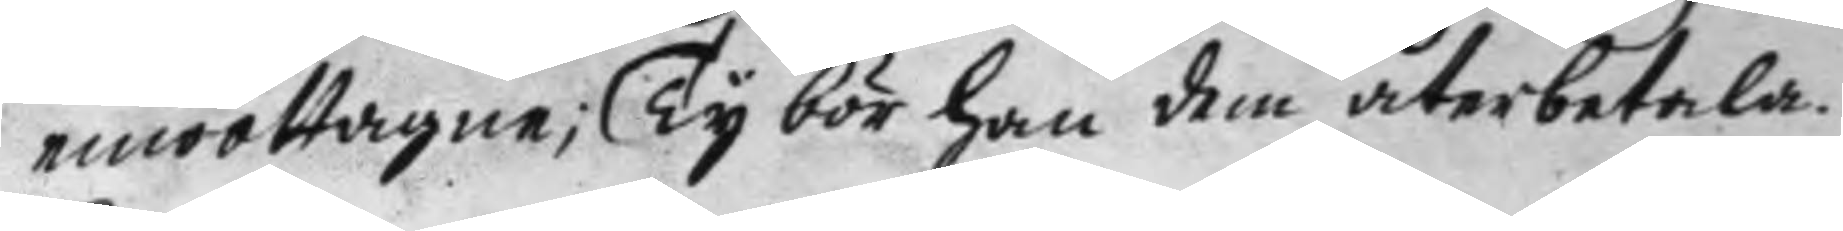emottagne, Ty bör han dem återbetala
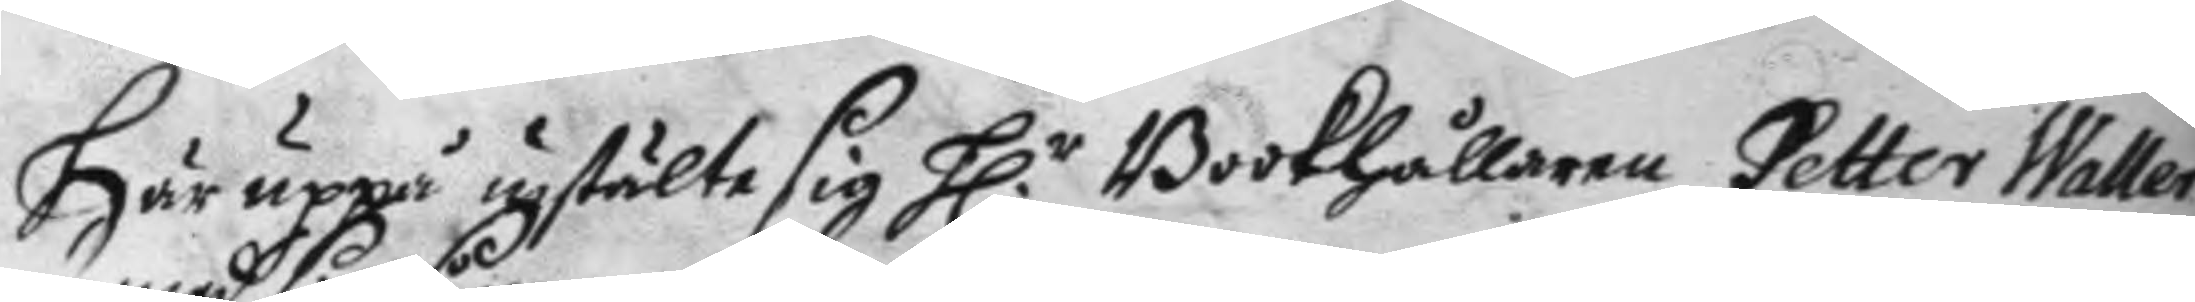Hr uppå instälte sig H.r Bookhållaren Petter Waller
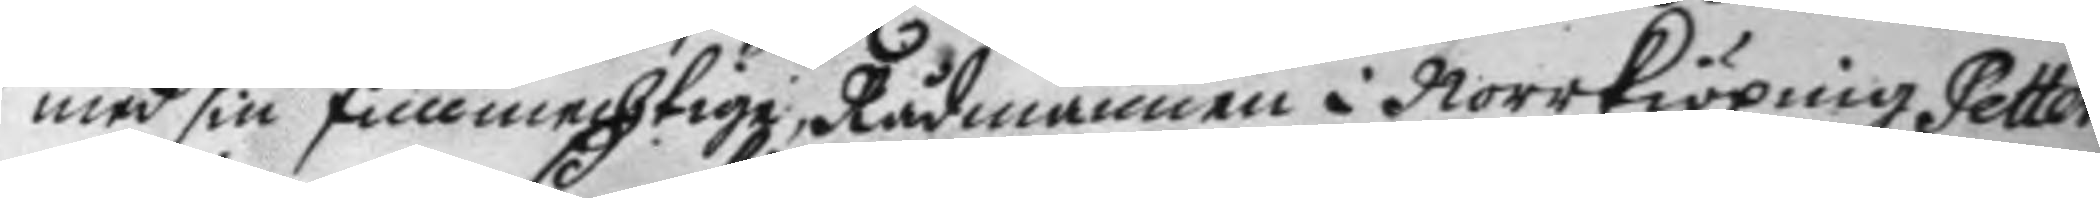med sin fullmechtige, Rådmannen i Norrkiöping Petter
